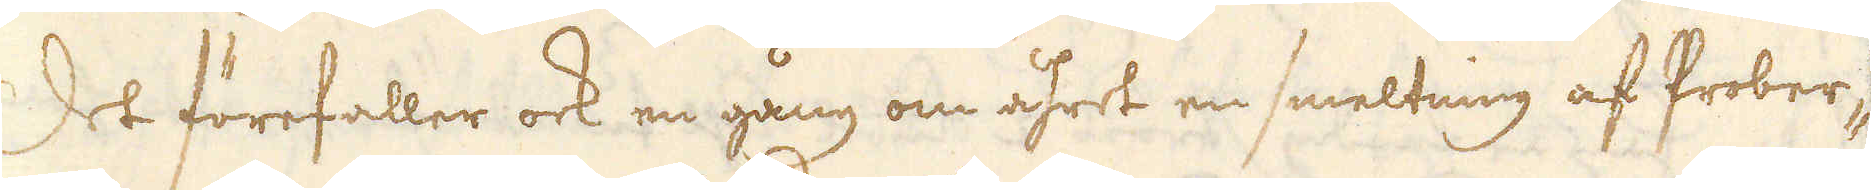Det förefaller ock en gång om åhret en smeltning af Prober-
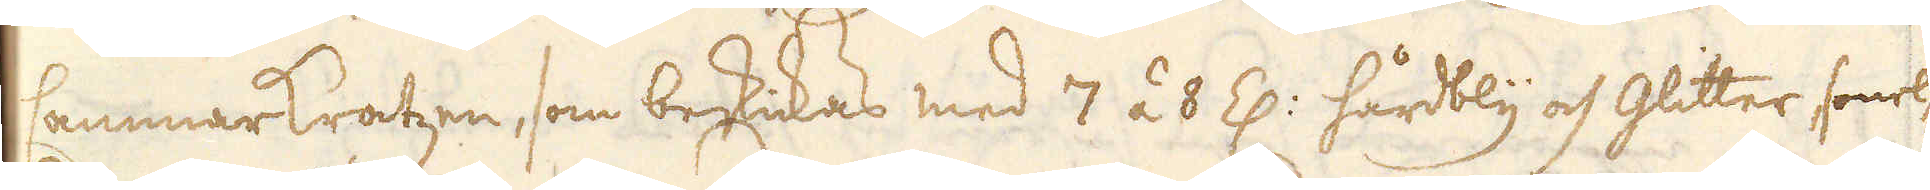sammarkratzen, som beskickas med 7 á 8 Z: hårdbly och Glitter, smel-
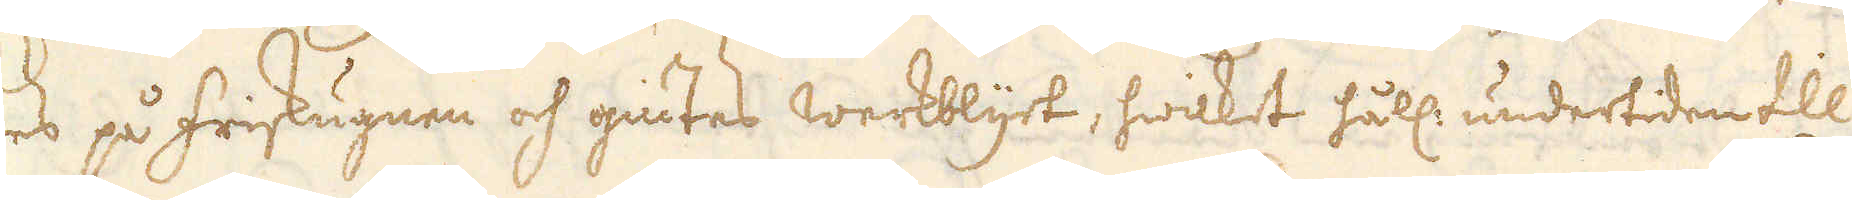tes på friskugnen och giutes werkblyet, hwilket håll: undertiden till
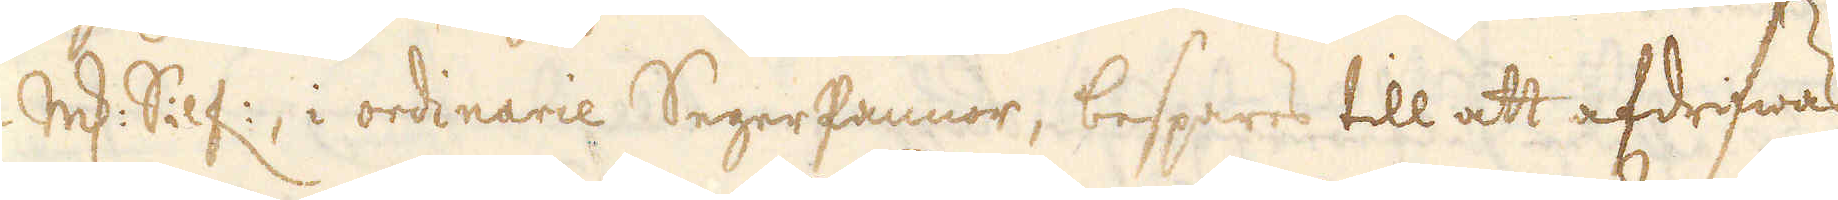2 marker Silf:, i ordinarie SegerPannor, bespares till att afdrifwas
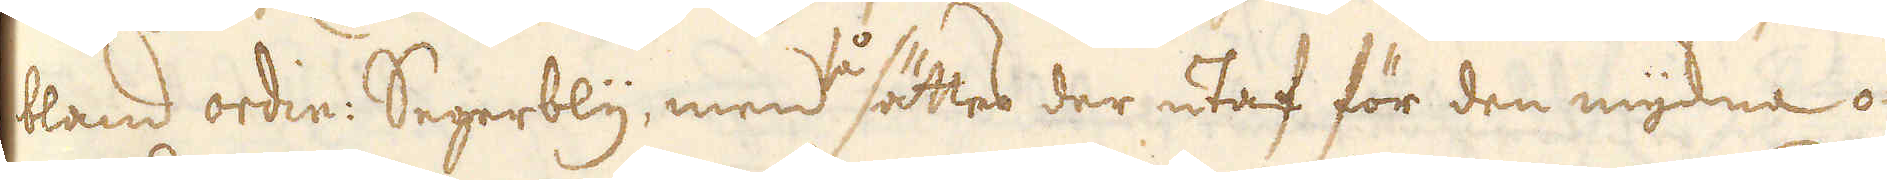bland ordin: Segerbly, men så sättes der utaf för den myckna o-
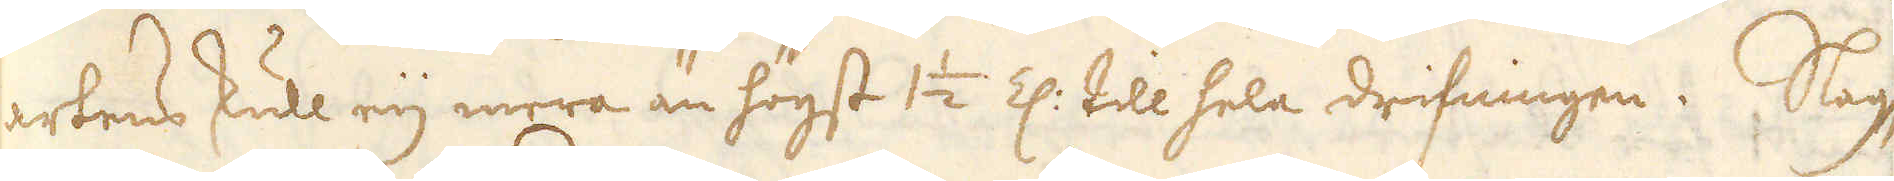artens skull eij mera än högst 1 1/2 Z: till hela drifningen. Slag-
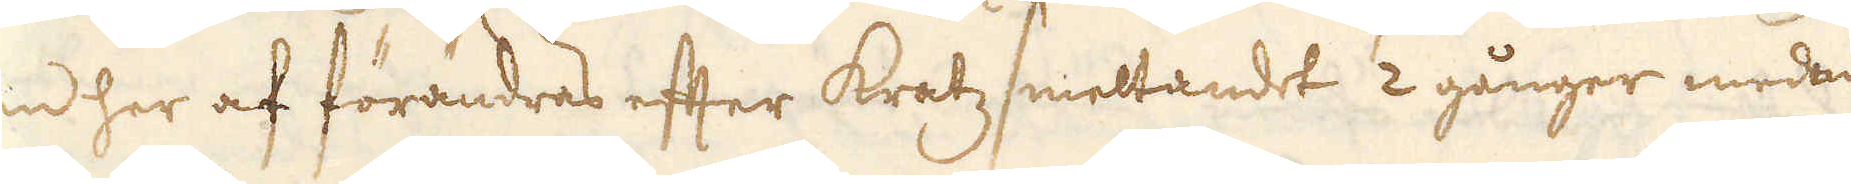gen her af förändras efter kratz smeltandet 2 gånger medan
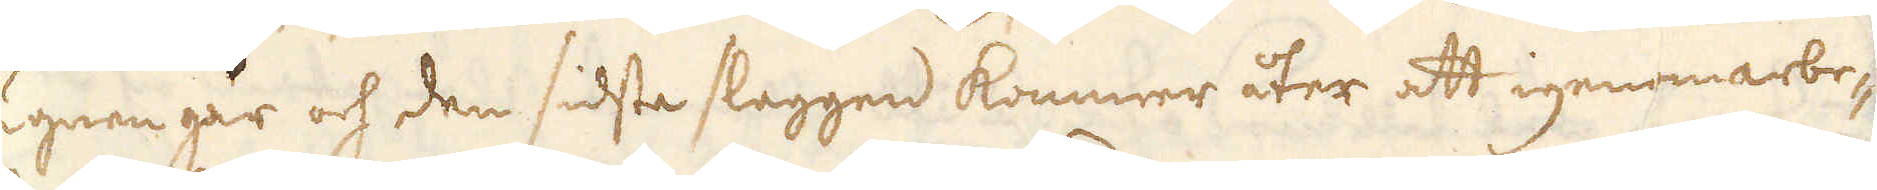ugnen går och den sidsta slaggen kommer åter att igenomarbe-
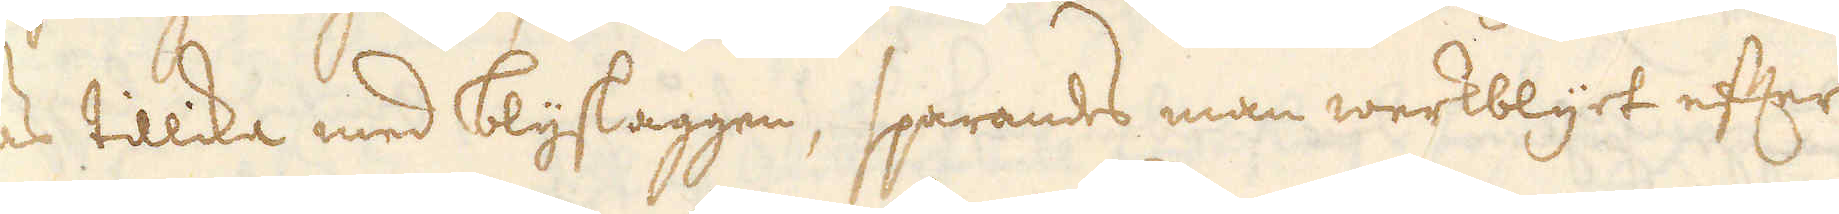tas tillika med blyslaggen, sparandes man werkblyet efter
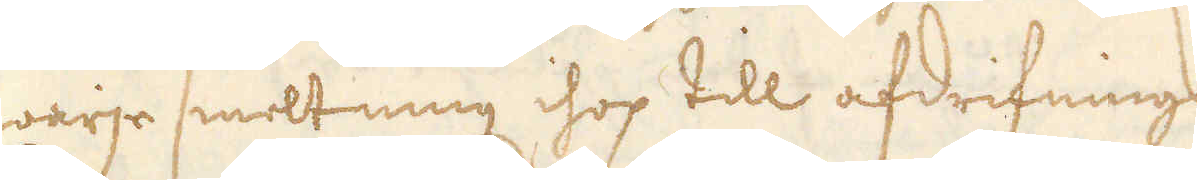warje smeltning ihop till afdrifnings.
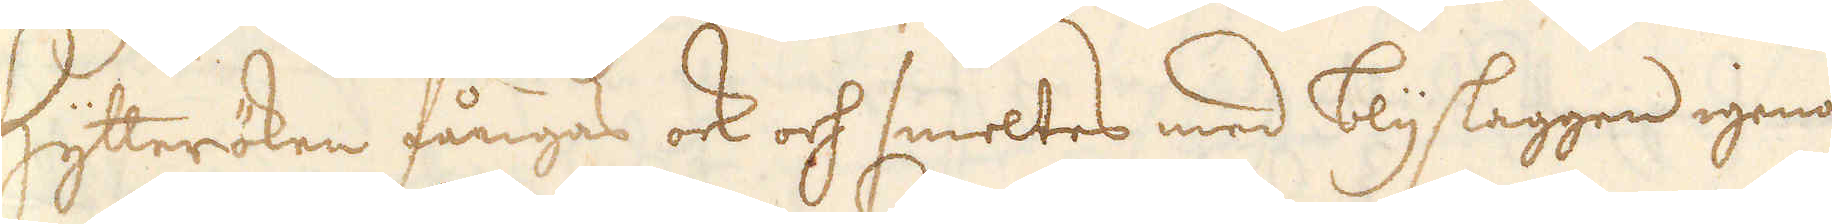Hytteröken fångas ock och smeltes med blyslaggen igenom,
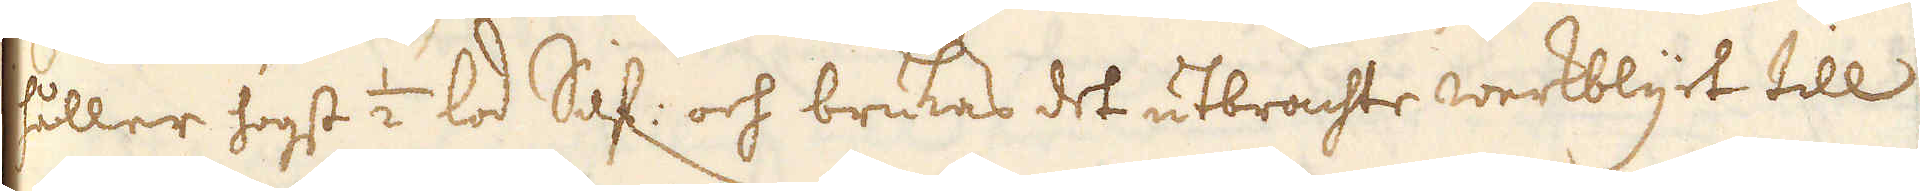håller högst 1/2 lod Silf: och brukas det utbrachte werkblyt till
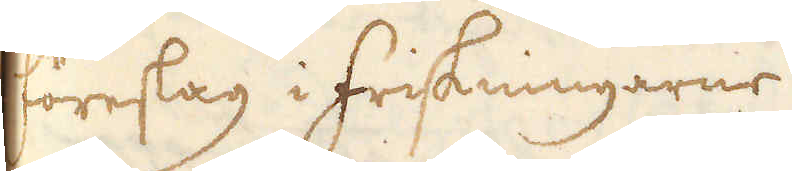föreslag i friskningarne.
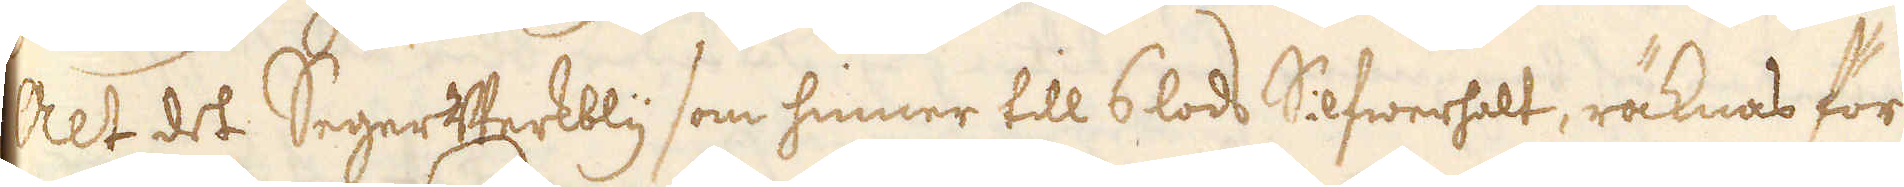Alt det SegerWerkbly som hinner till 6 lods Silfwerhalt, räknas för
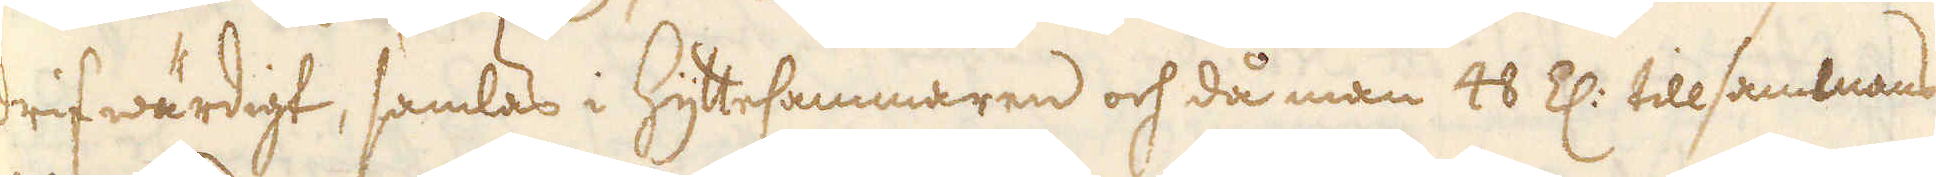drifwärdigt, samlas i HytteCammaren och då man 48 Z: tillsammans
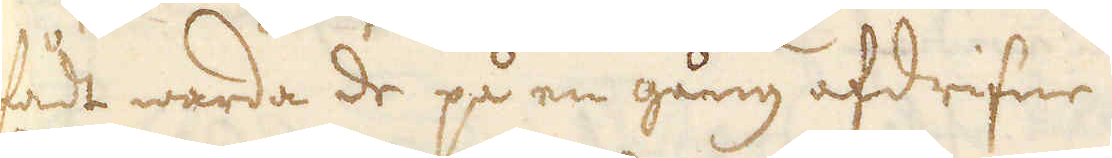fådt warda de på en gång afdrifne.
